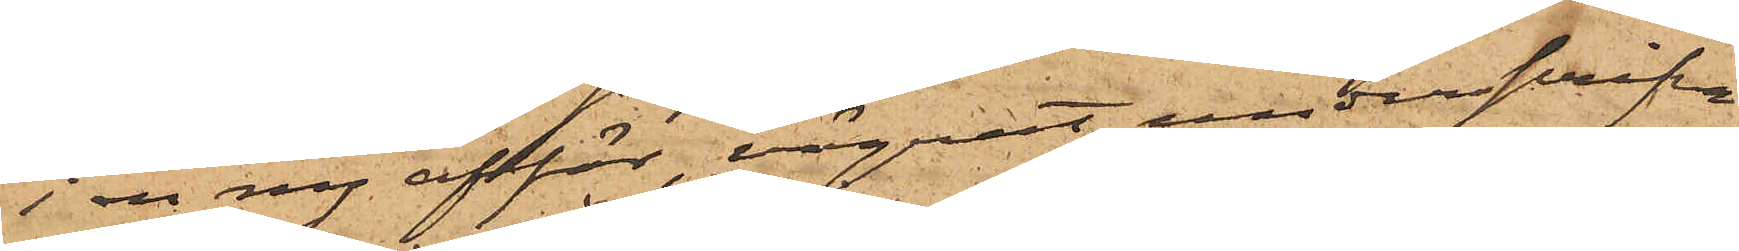i en ny affär, vägrat underskrifva
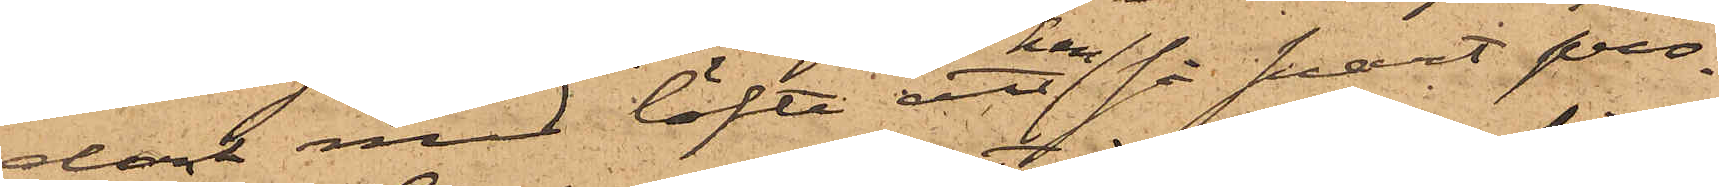dock med löfte att han så snart pro¬
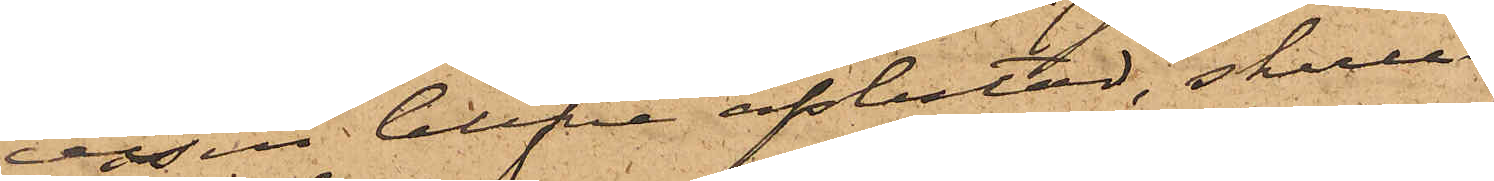cessen blefve afslutad, skulle
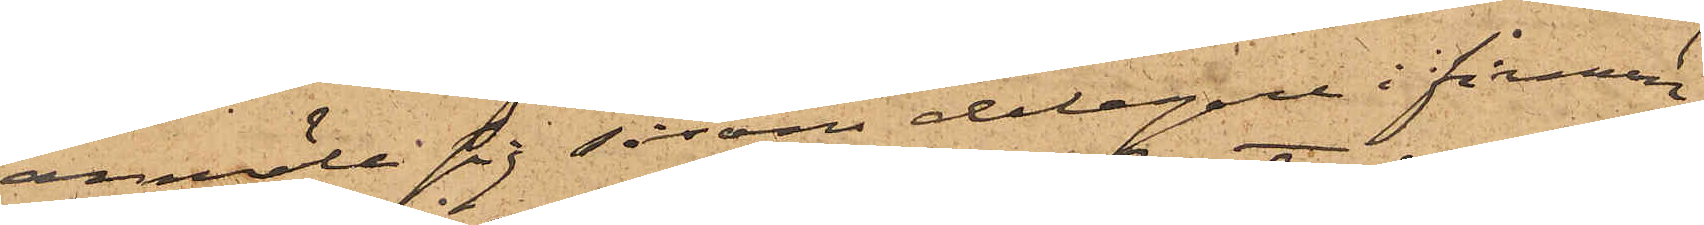anmäla sig såsom delegare i firman
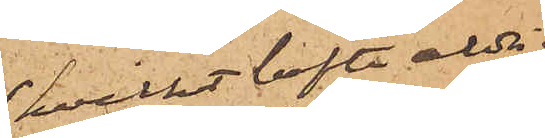hvilket löfte aldrig
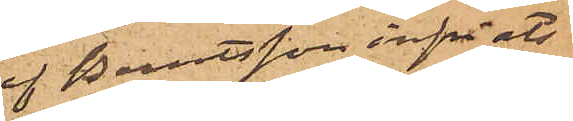af Berntsson infriats;
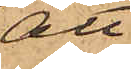att
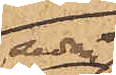sedan
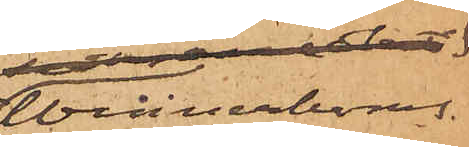Wennerboms
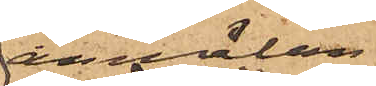anmälan
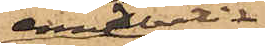emedlertid
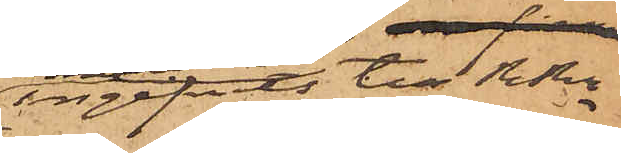ingifvits till RRn
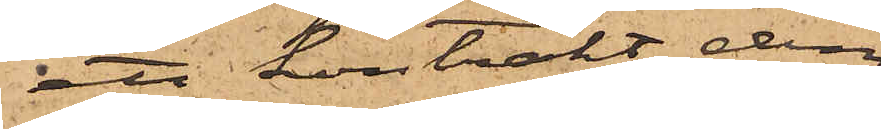ett kontrakt dem
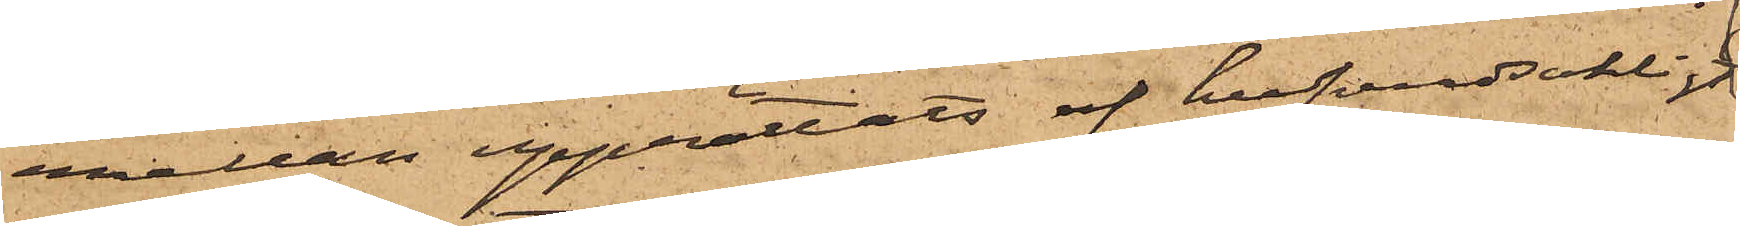emellan upprättats af hufvudsakligt
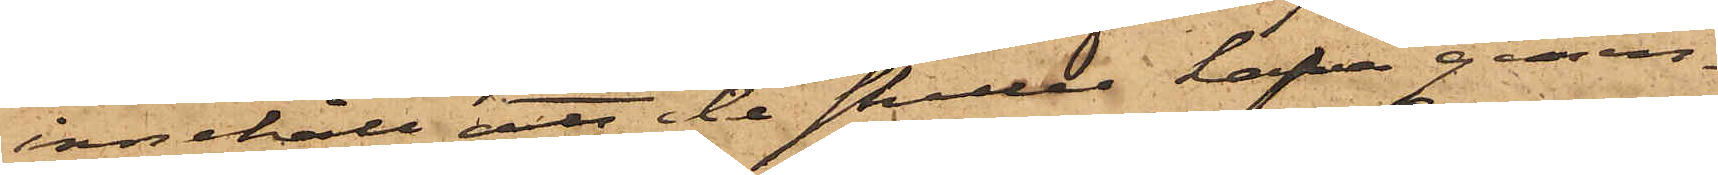innehåll att de skulle hafva gemen¬
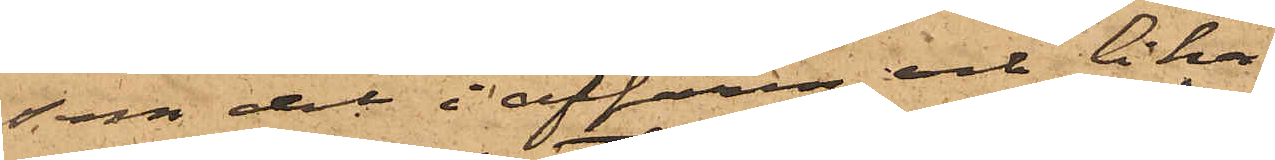sam del i affären och lika
